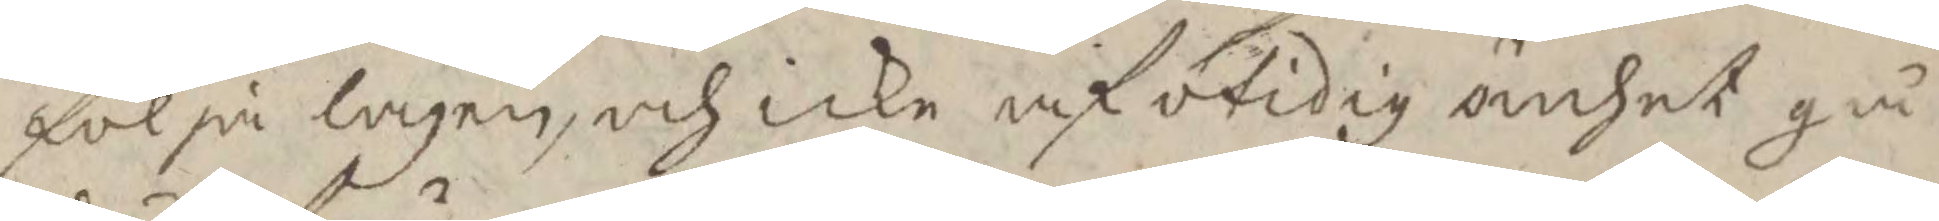följa lagen, och icke af otidig ömhet gå
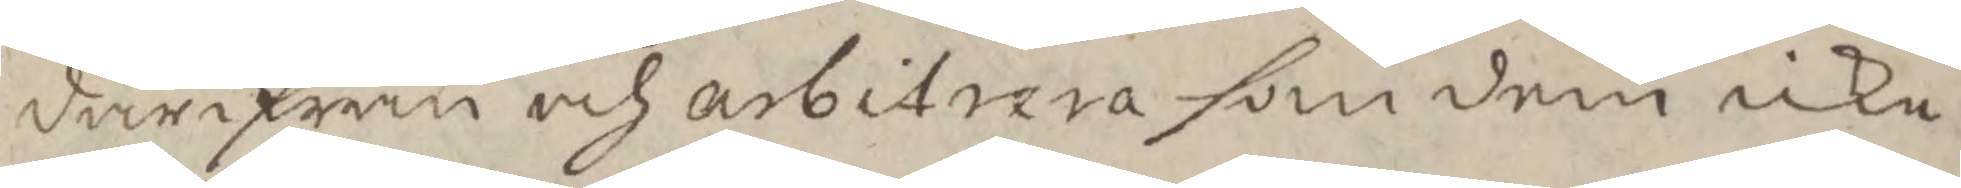färifrån och arbitera som dem icke
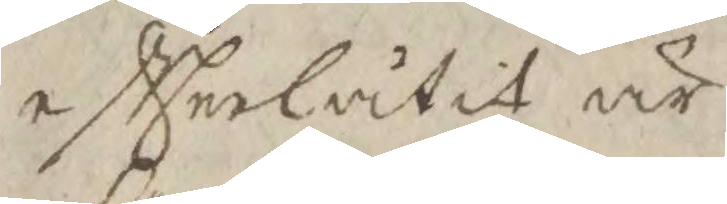eftterlåtit är
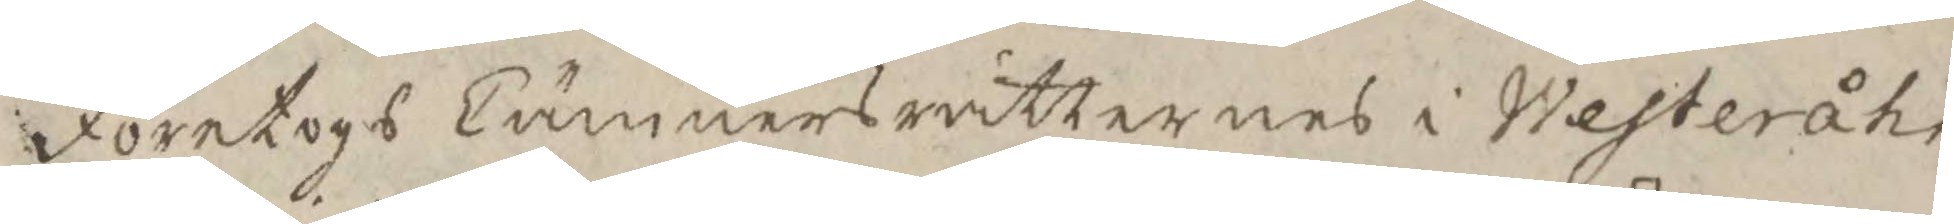Företogs Cämnersrättens i Westeråhs
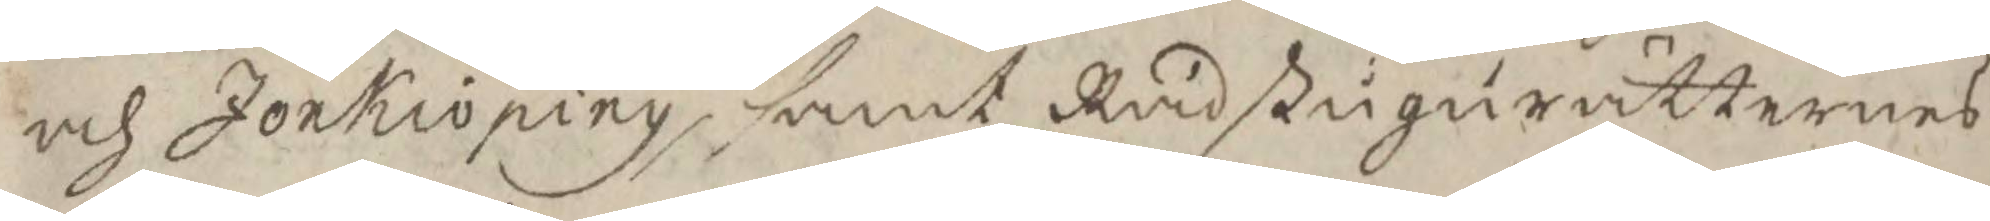och Jönkiöping, samt Rådstugurätternes
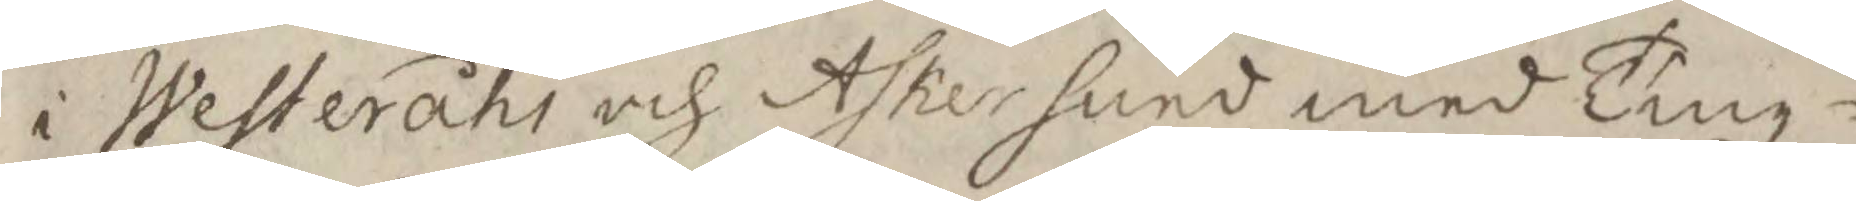i Weteråhs och Askersund med Tingz¬
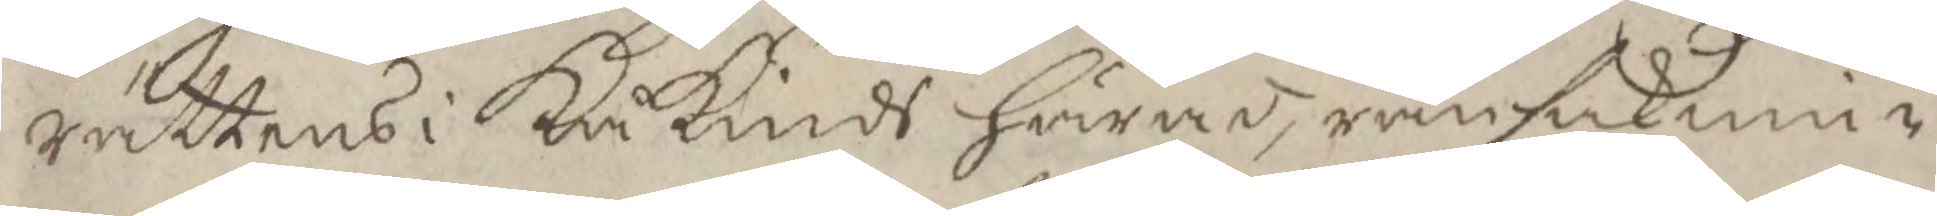rättens i Kåkinds Härad, ransakni¬
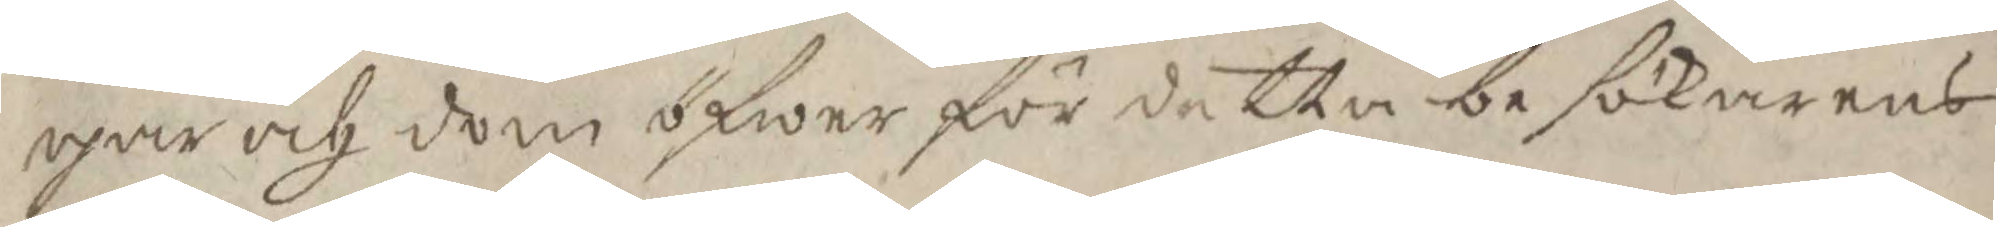gar och dom öfwer för detta besökarens
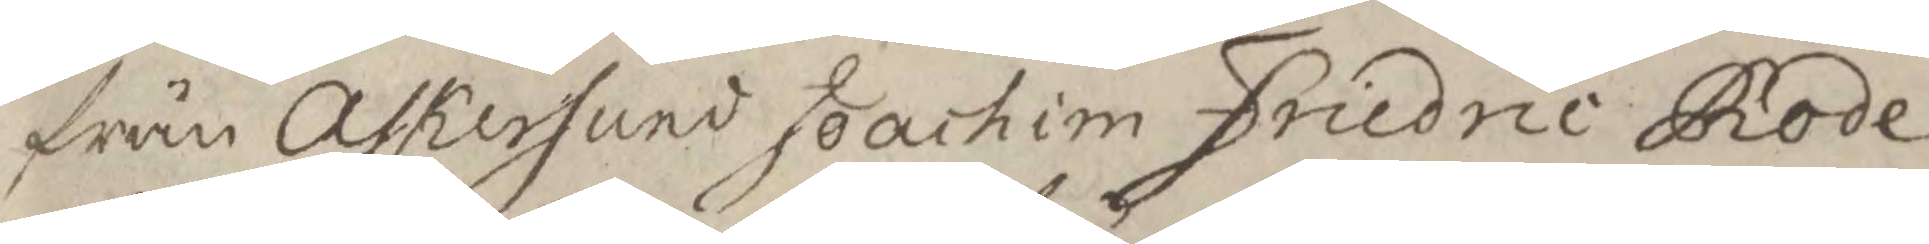från Askersund Joachim Friedric Rode
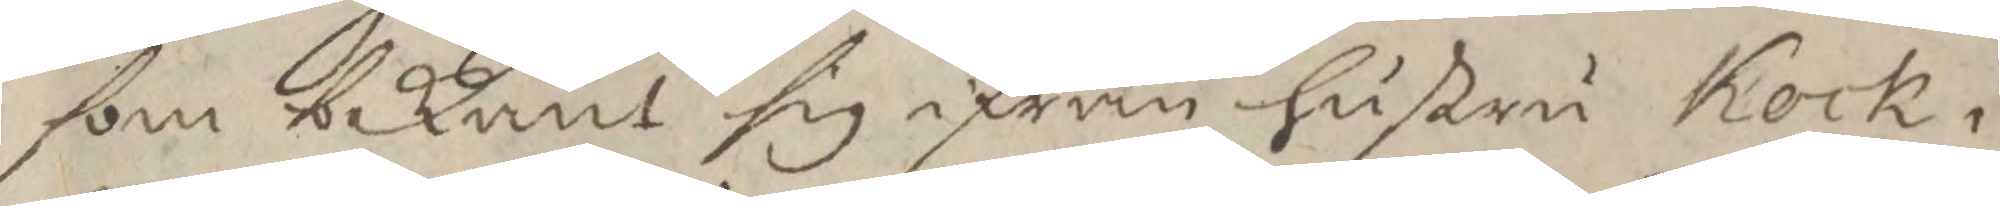som bekänt sig ifrån hustru Kock i
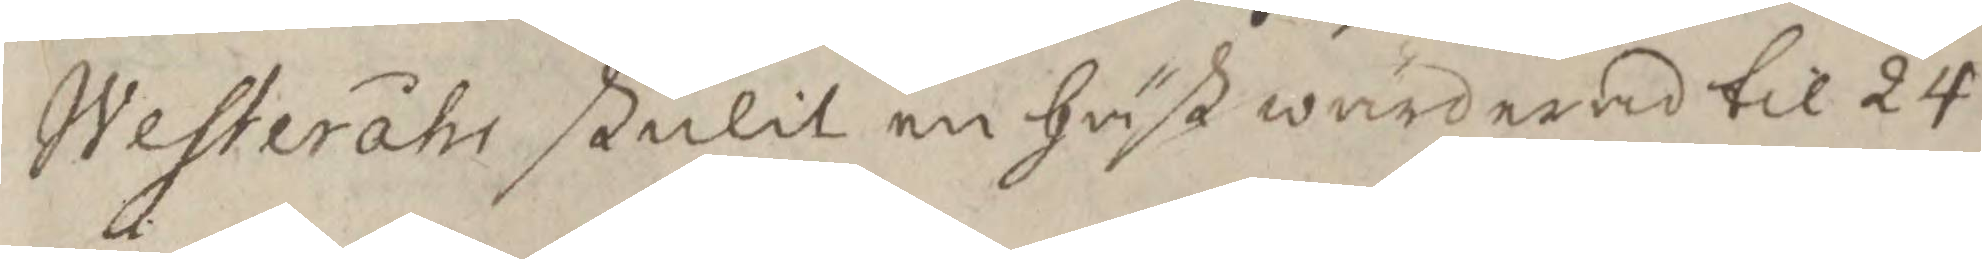Westeråhs stulit en häst wärderad til 24
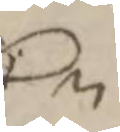Cr
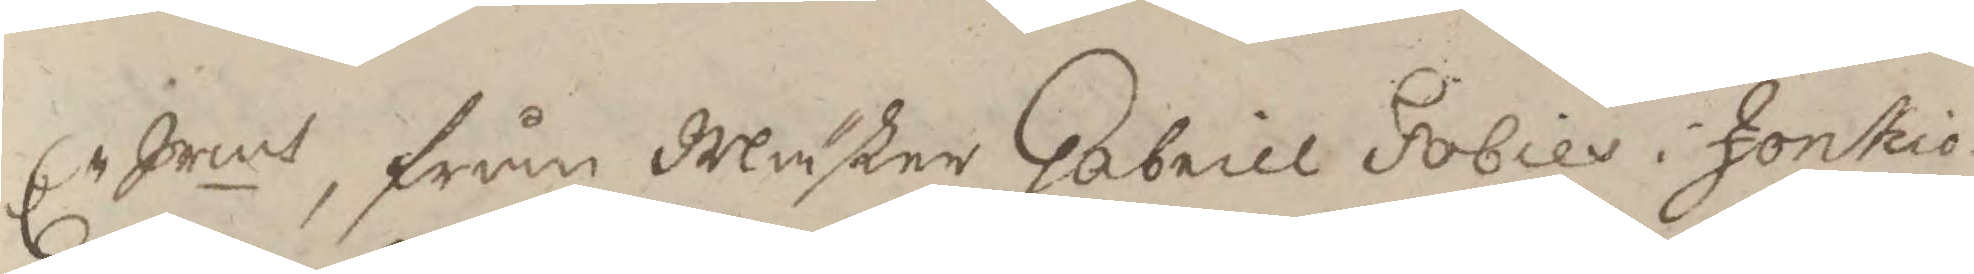Cr Srmt, från Mäster Gabrill Fobies i Jonkio¬
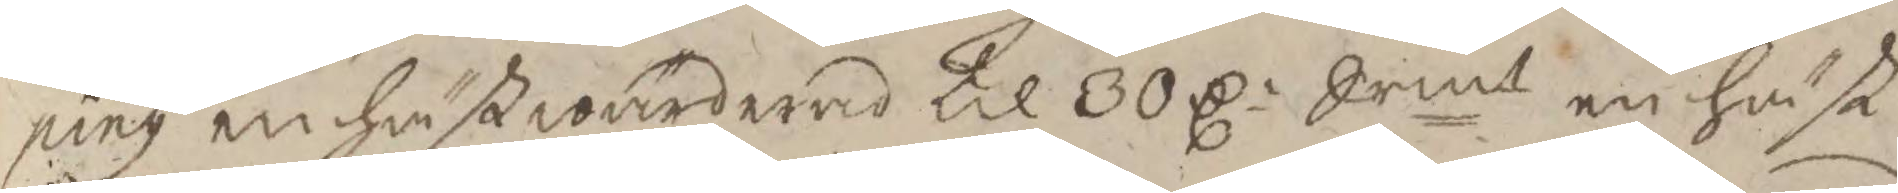ping en häst wärderad til 30 C: Srmt en häst
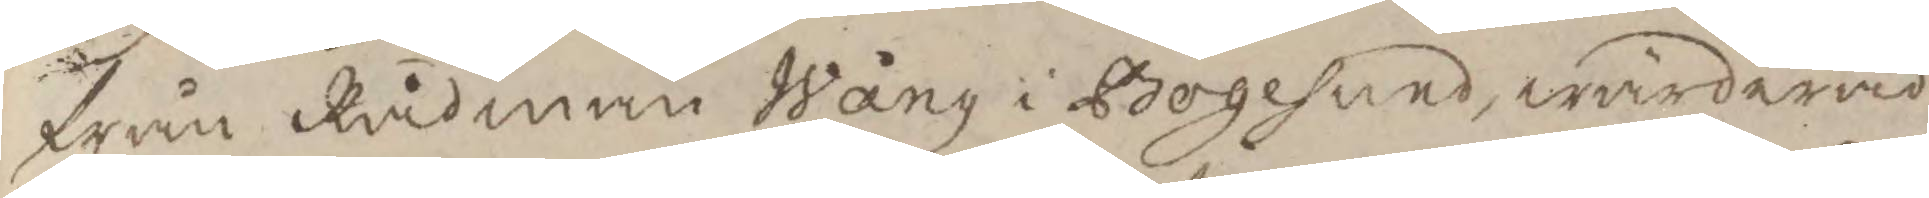från Rådman Wång i Bogesund, wärderad
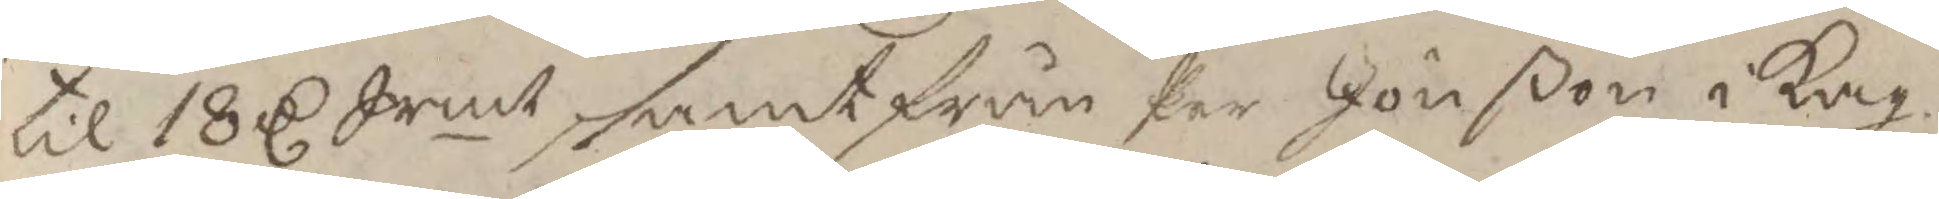til 18 C Srmt, samt från Per Jönßon i Kag¬
